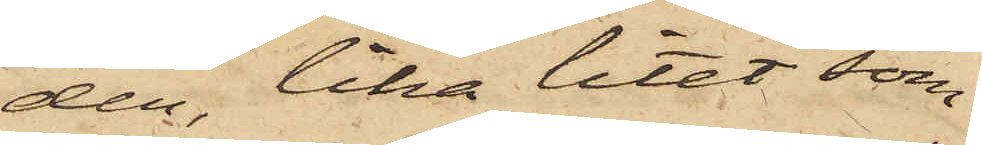den, lika litet som
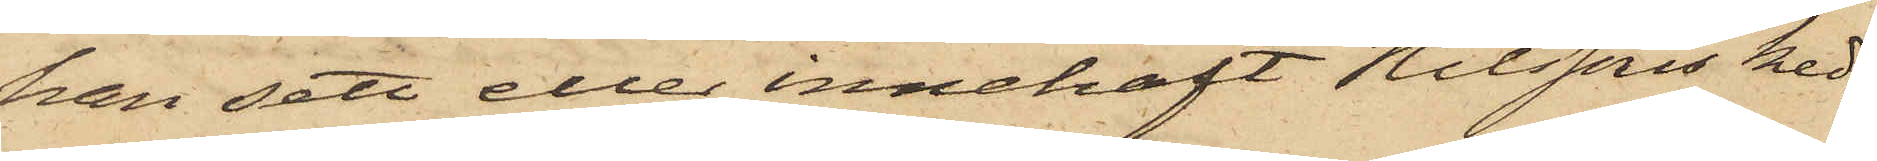han sett eller innehaft Nilssons ked¬
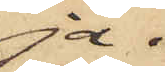ja.
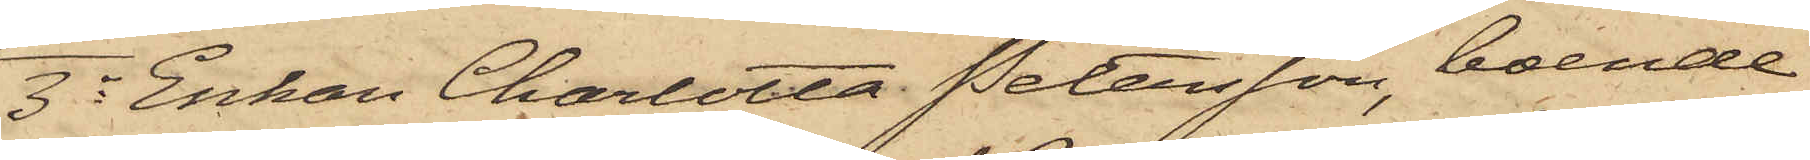3o Enkan Charlotta Petersson, boende
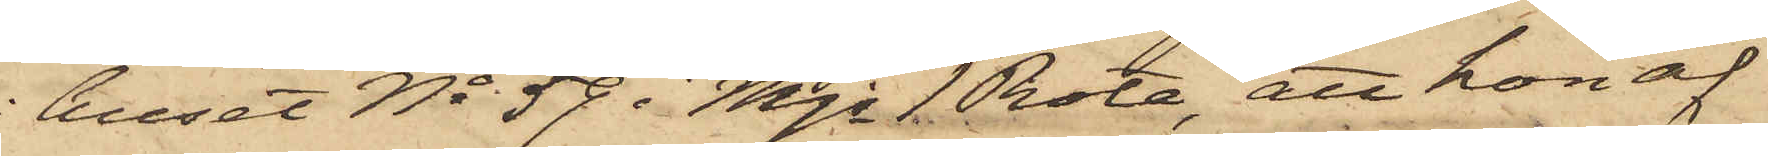i huset No 59 i Mjs 1 Rote, att hon af
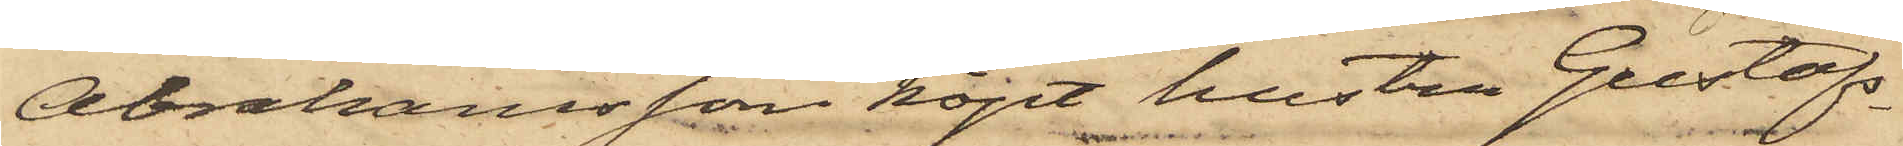Abrahamsson köpt hustru Gustafs¬
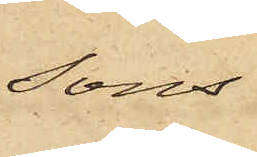sons
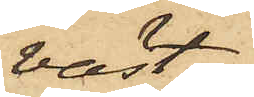väst
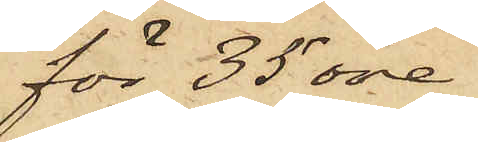för 35 öre,
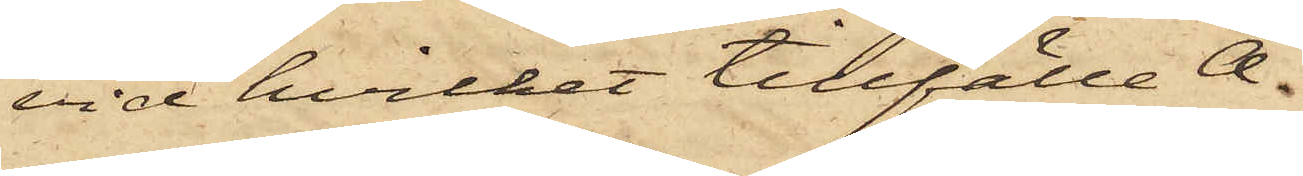vid hvilket tillfälle A¬
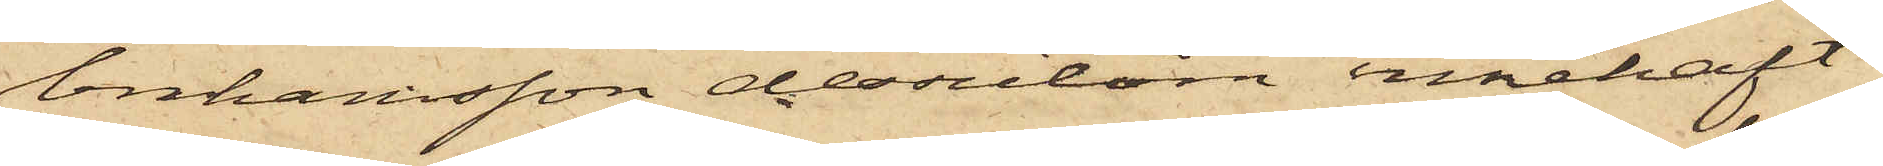brahamsson dessutom innehaft
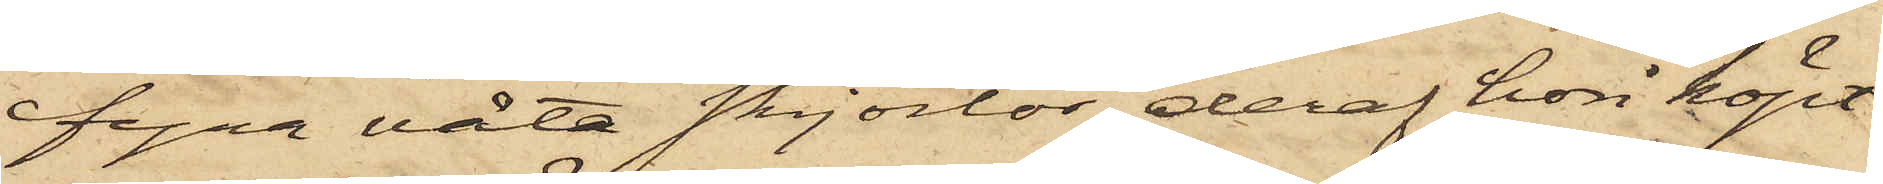fyra våta skjortor, deraf hon köpt
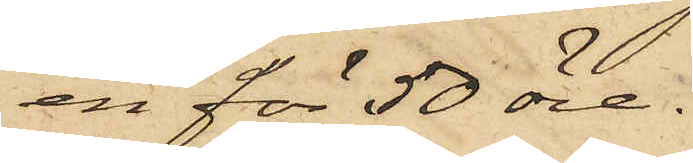en för 50 öre.
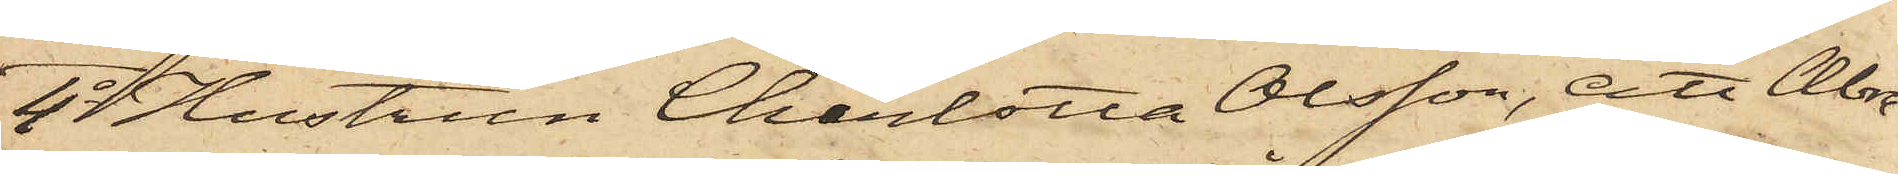4o Hustrun Charlotta Olsson, att Abra¬
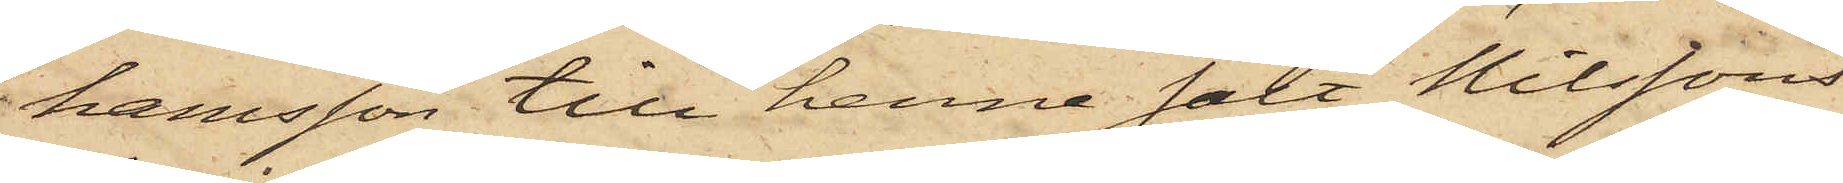hamsson till henne sålt Nilssons
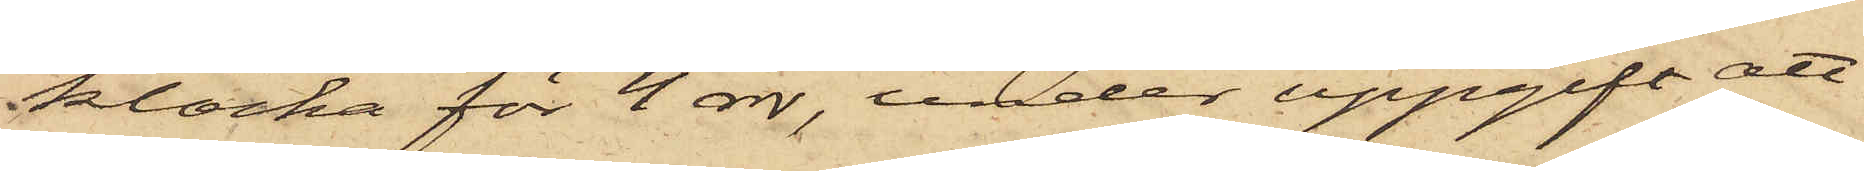klocka för 4 rdr, under uppgift att
